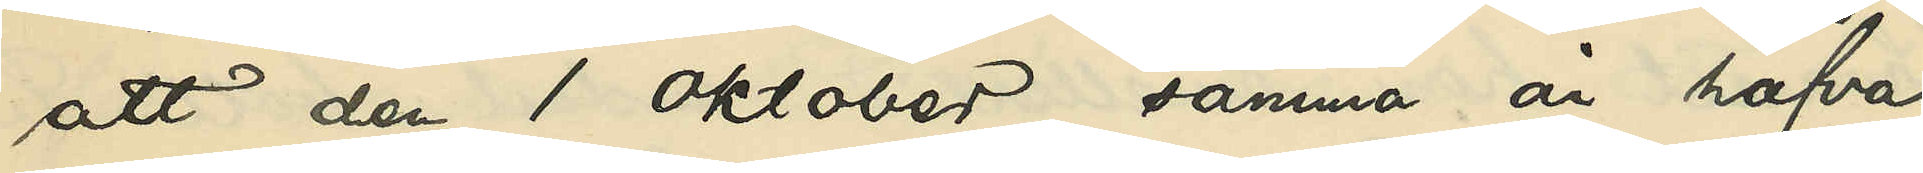att den 1 Oktober samma år hafva
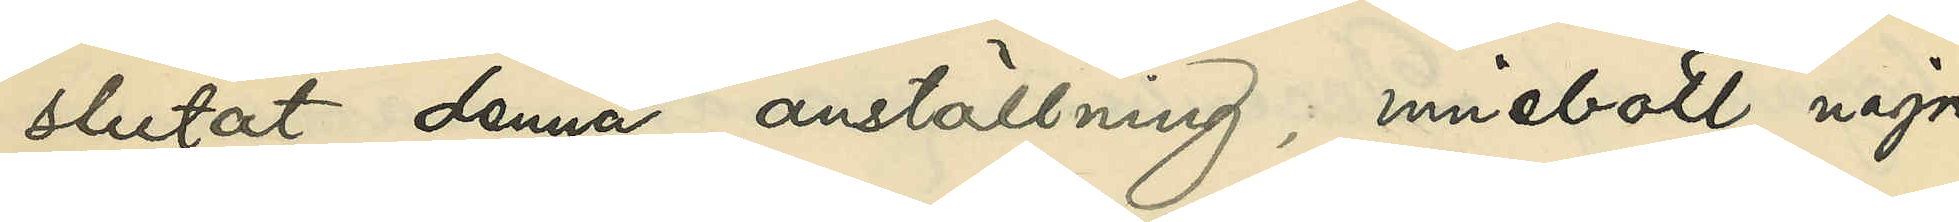slutat denna anställning, innebott några
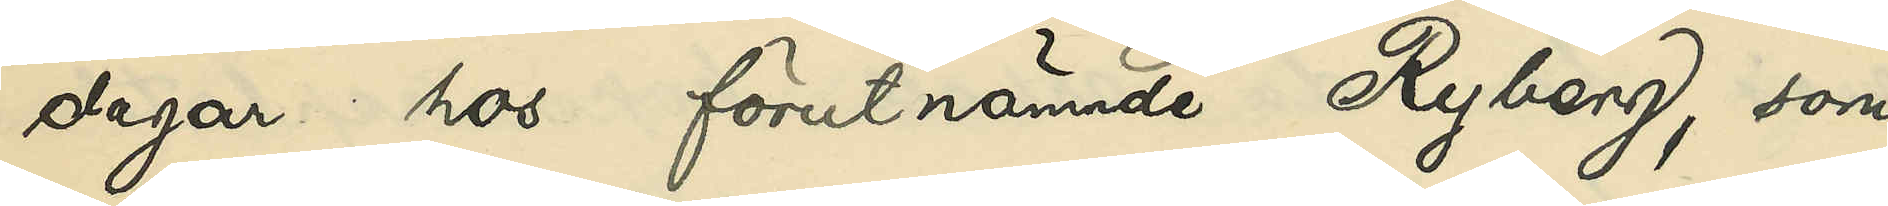dagar hos förutnämnde Ryberg, som
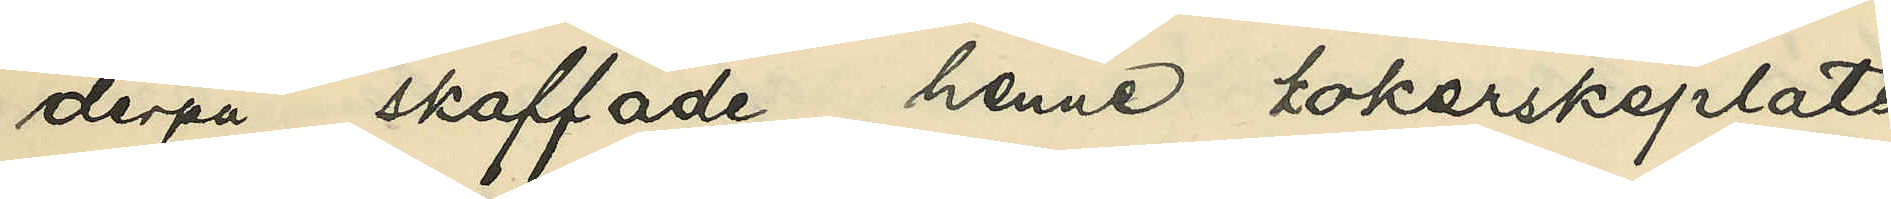derpå skaffade henne kokerskeplats
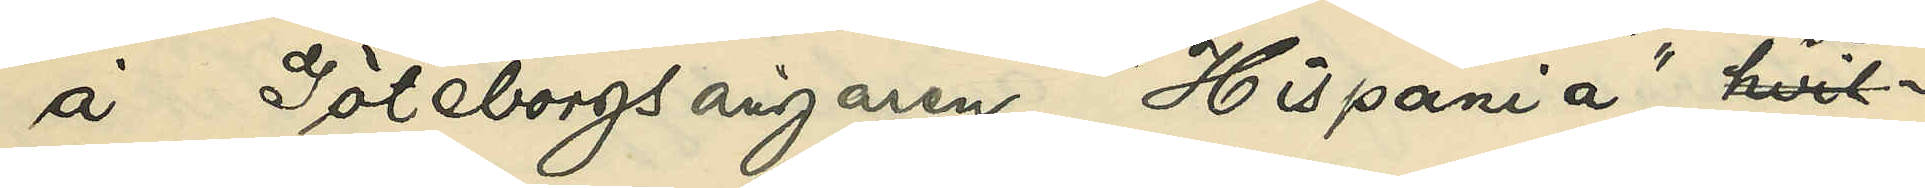å Göteborgsångaren "Hispania", som
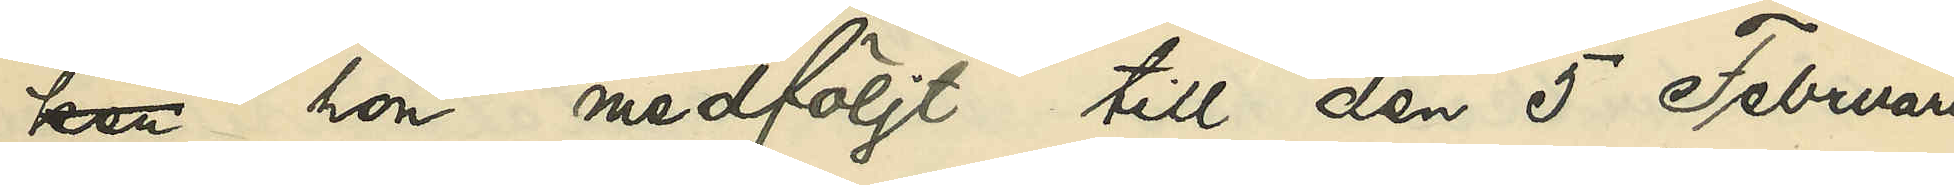hon medföljt till den 5 Februari
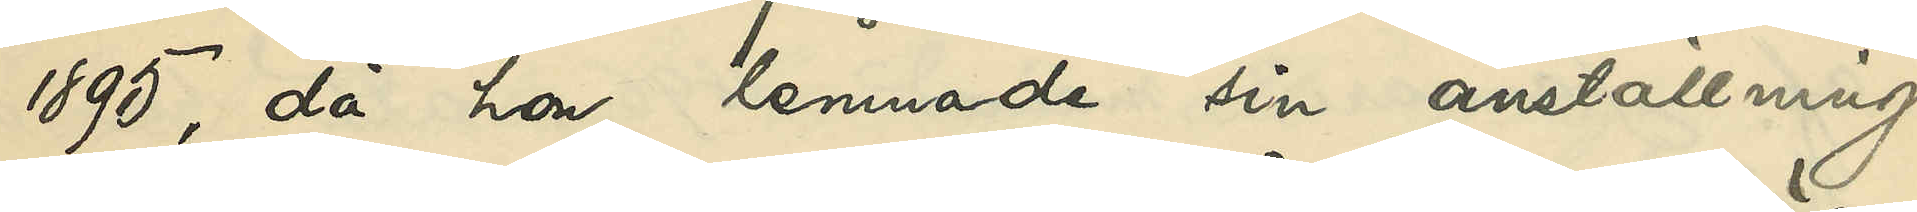1895, då hon lemnade sin anställning,
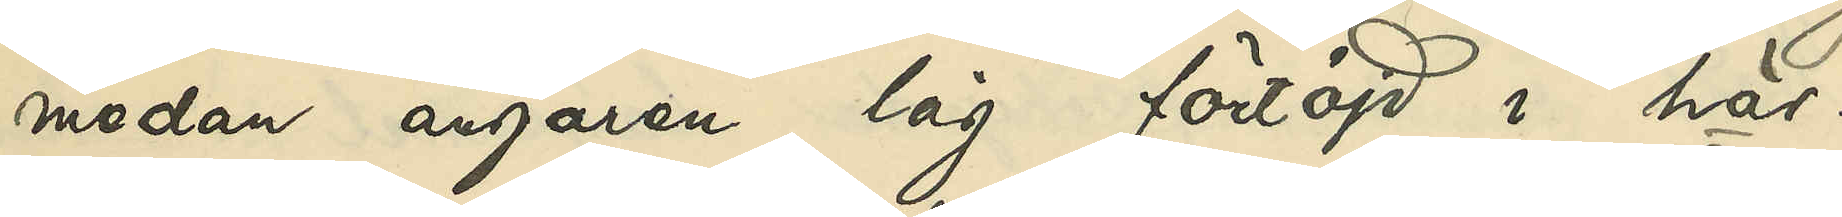medan ångaren låg förtöjd i här¬
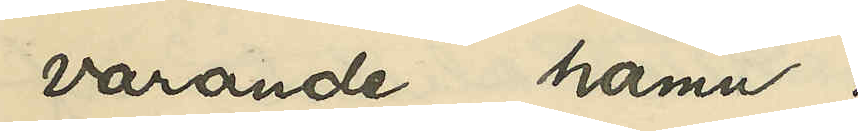varande hamn;
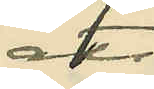att
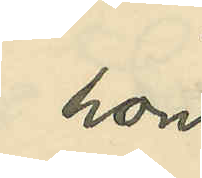hon
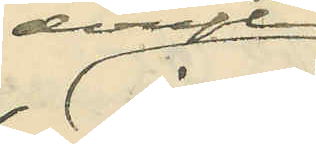derefter
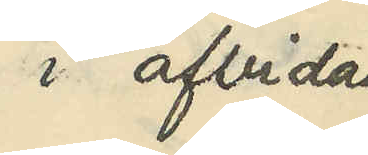i afbidan
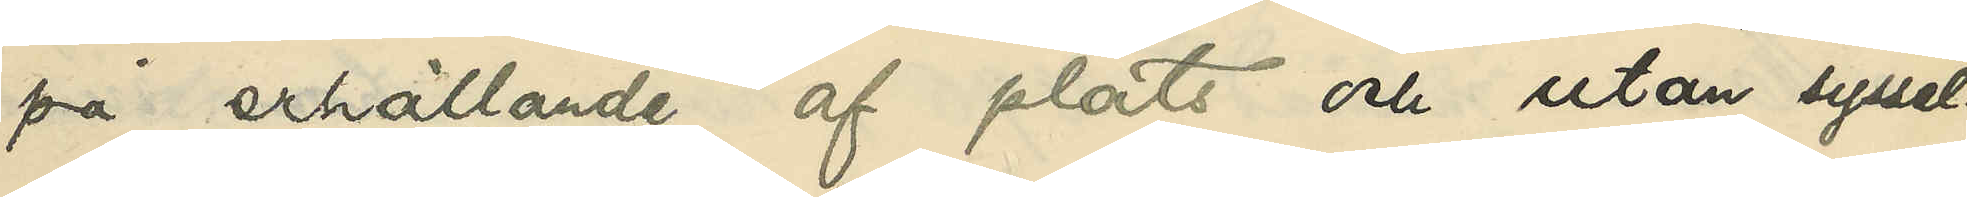på erhållande af plats och utan syssel¬
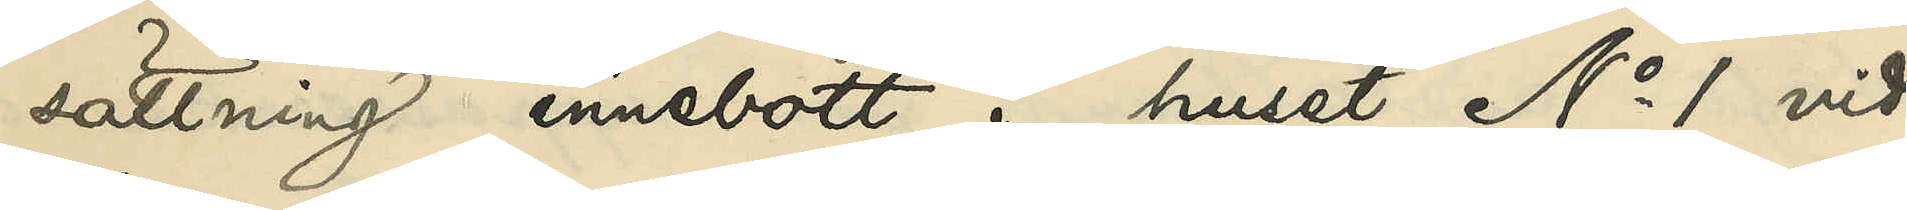sättning innebott i huset No 1 vid
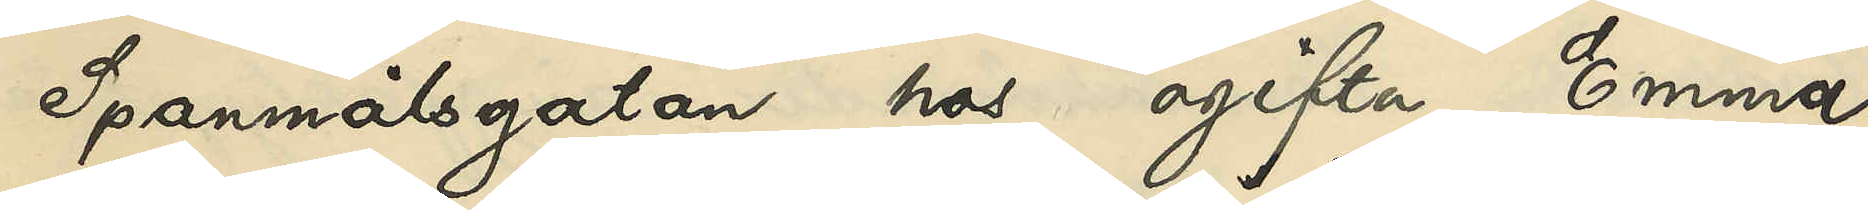Spannmålsgatan hos ogifta Emma
